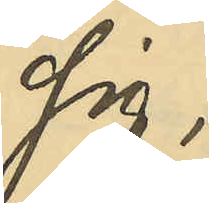sig;
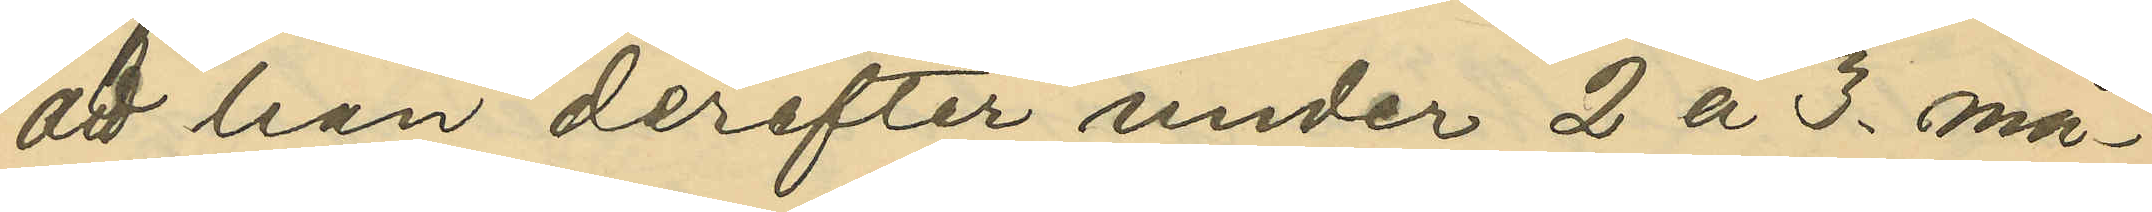att han derefter under 2 à 3. må¬
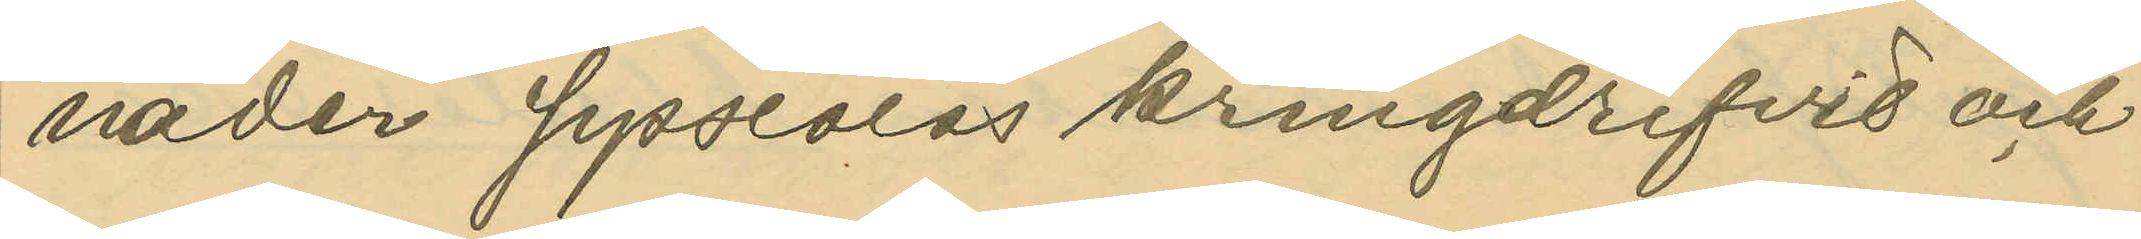nader sysslolös kringdrifvit och
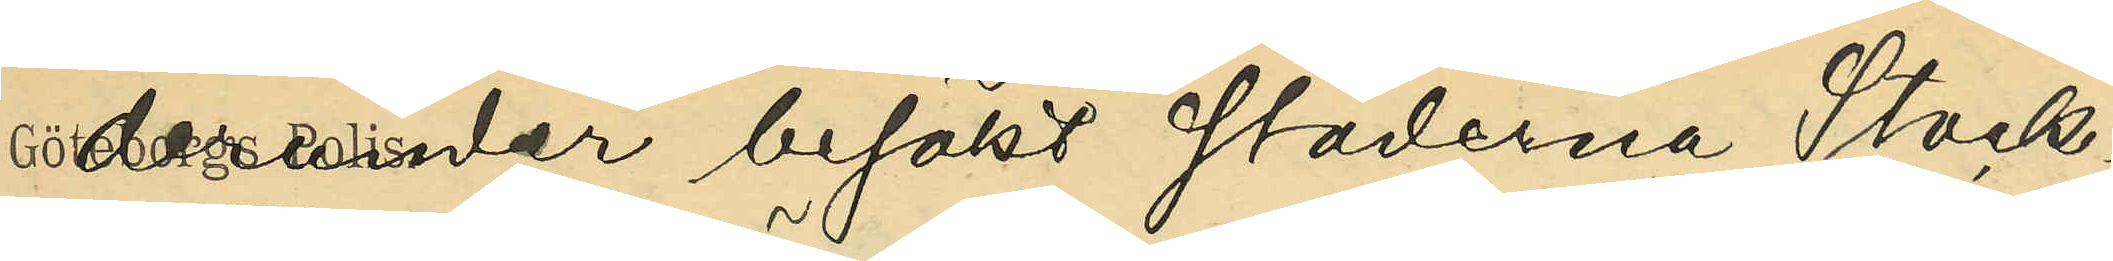derunder besökt städerna Stock¬
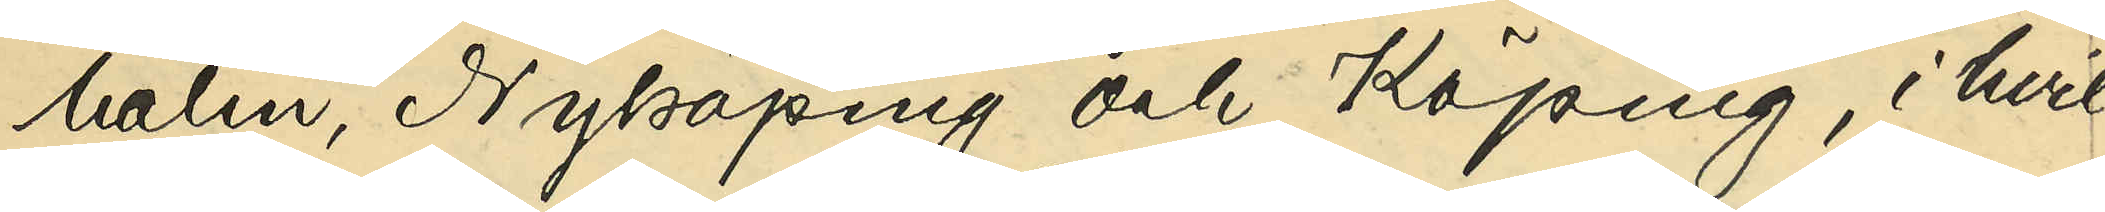holm, Nyköping och Köping, i hvil¬
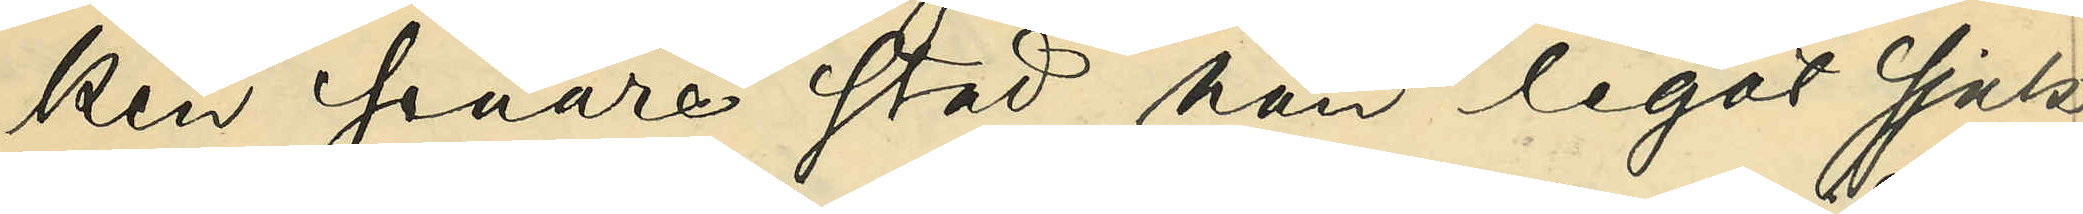ken seanre stad han legat sjuk
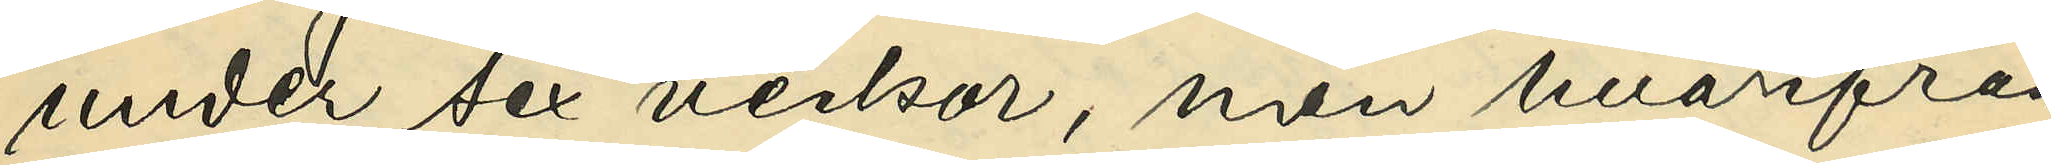unde sex veckor, men hvarifrån
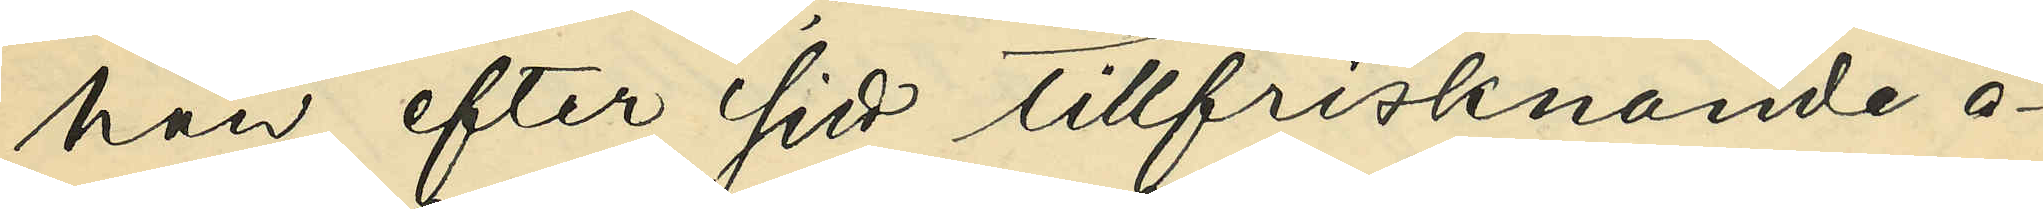han efter sitt tillfrisknande å¬
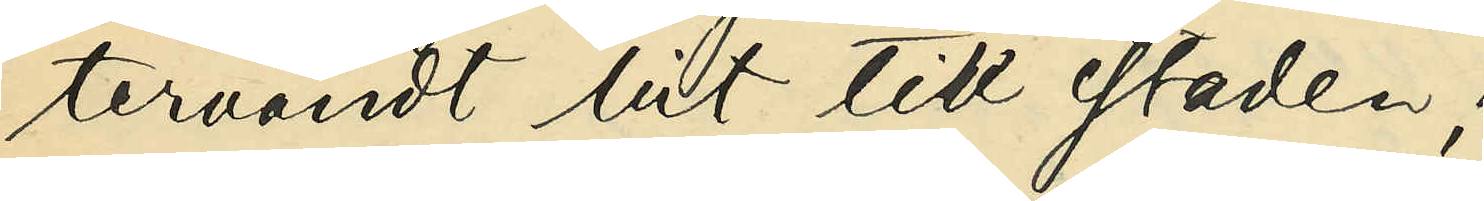tervändt hit till staden;
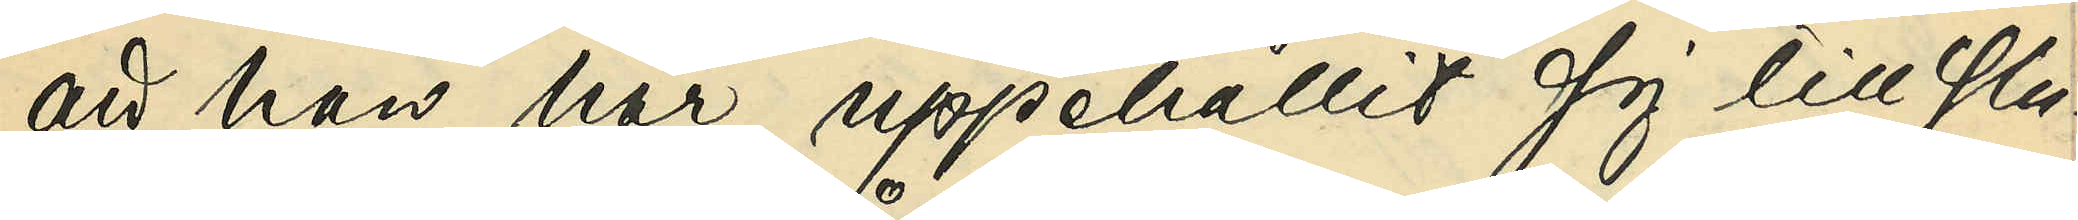att han här uppehållit sig till slu¬
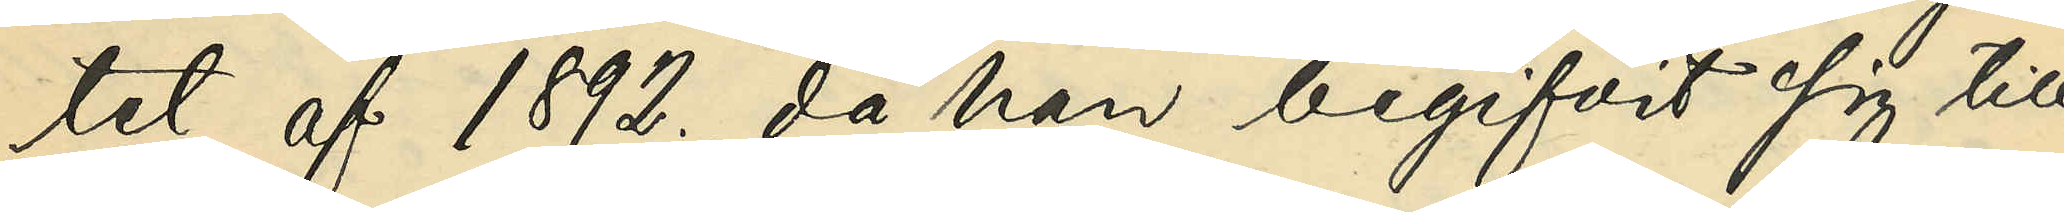tet af 1892., då han begifvit sig till
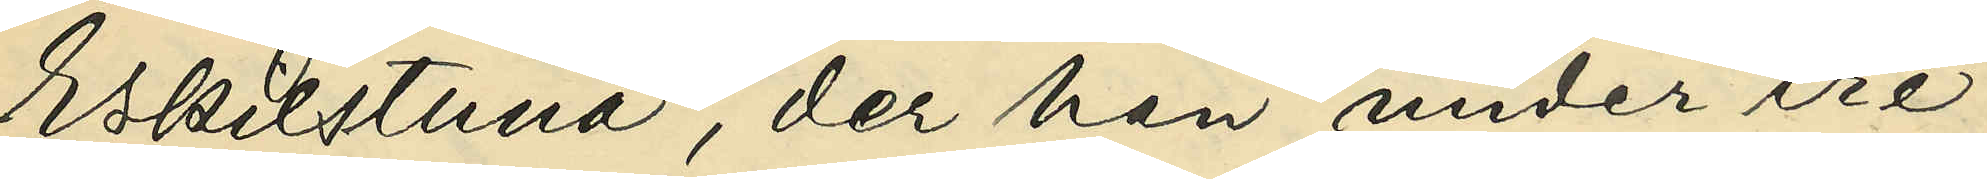Eskilstuna, der han under tre
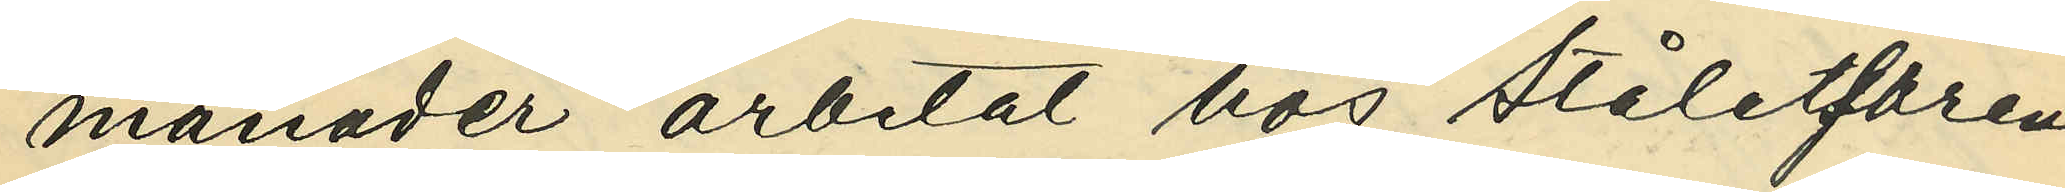månader arbetat hos ståletsaren
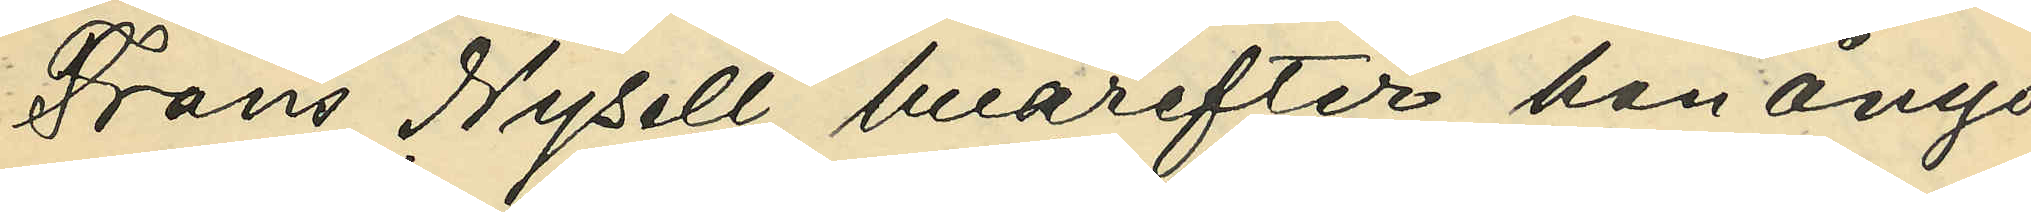Frans Nysell, hvarefter han ånyo
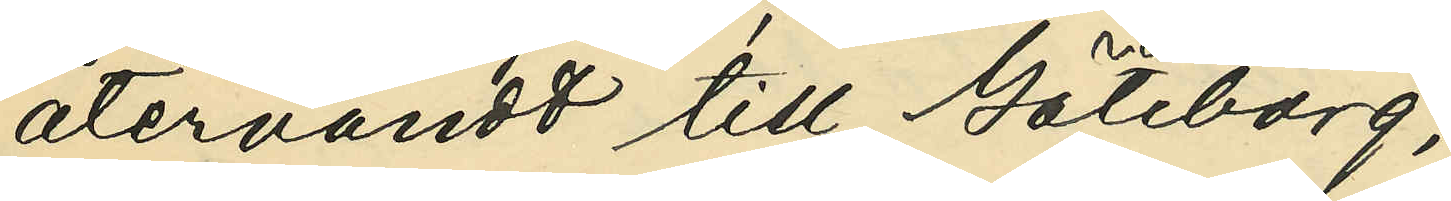återvändt till Göteborg;
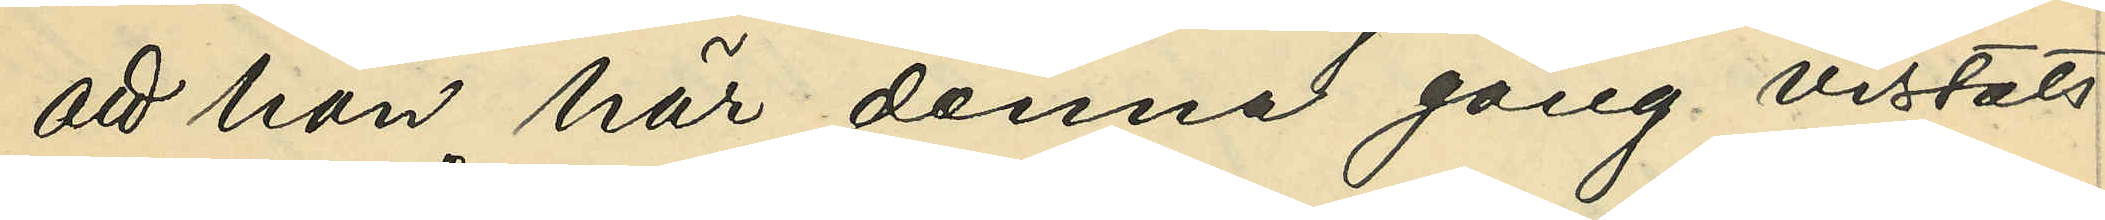att han här denna gång vistats
